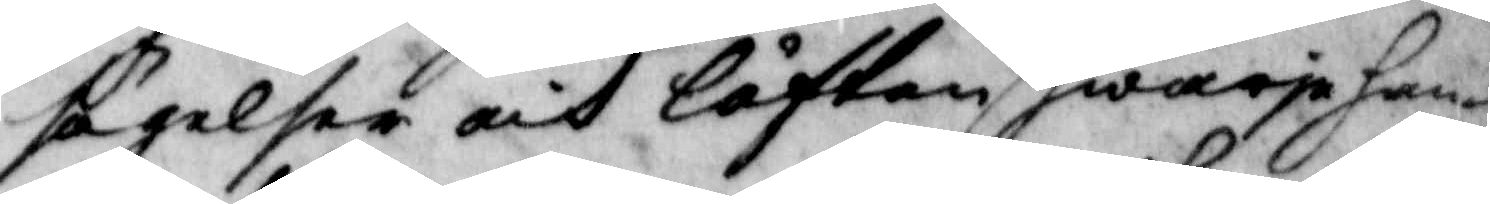sägelse och låften af hwarje han¬
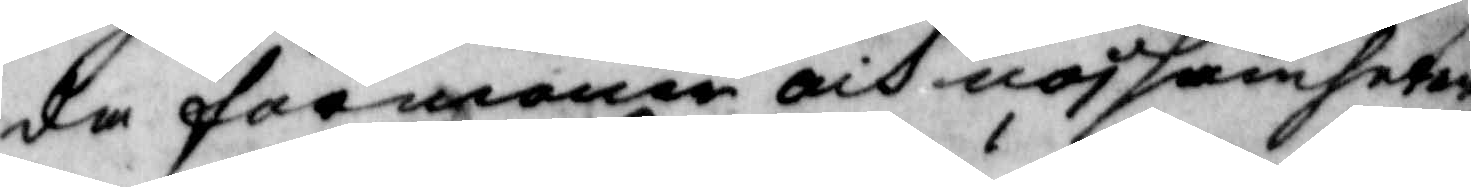da förmaner och nojsamheter
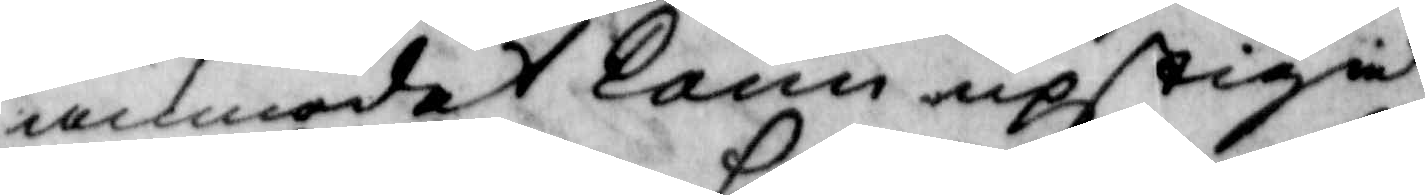anmodat Karin upstiga
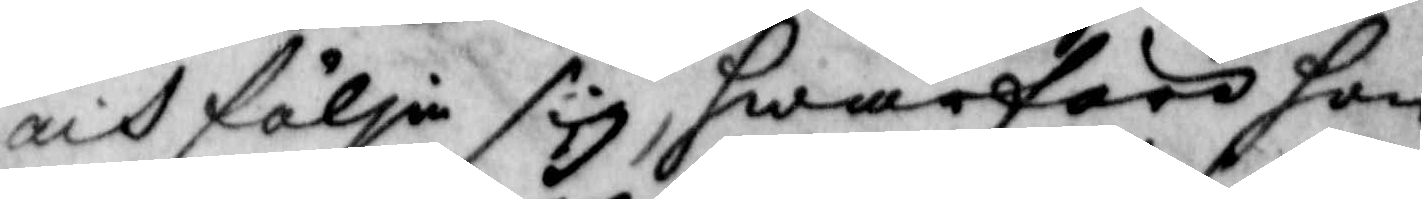och följa sig, hwarföre hon
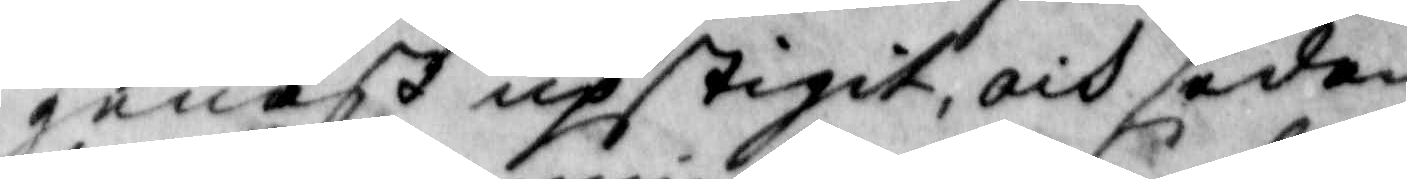genast upstigit och sedan
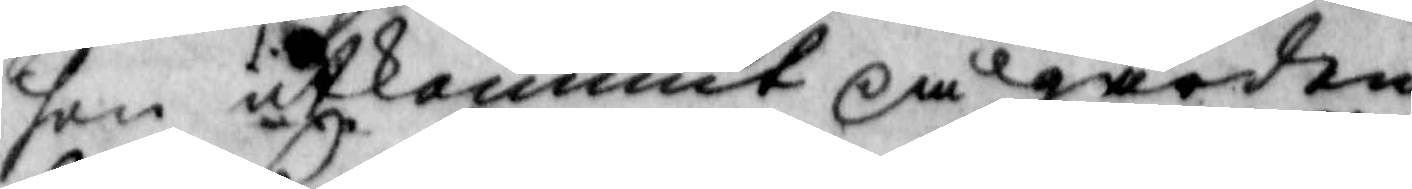hon utkommit på gården
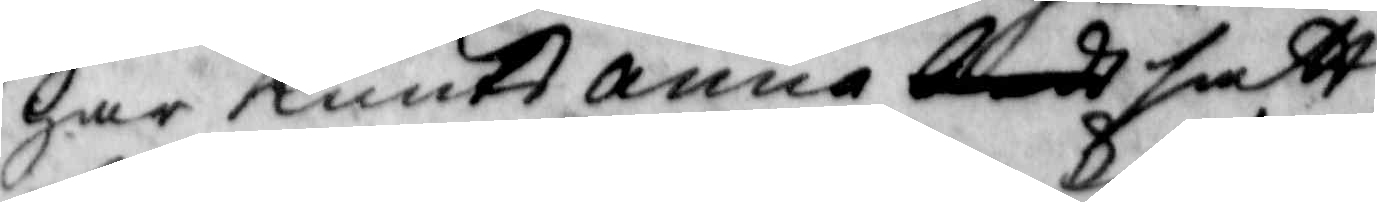har Knuts Anna satt
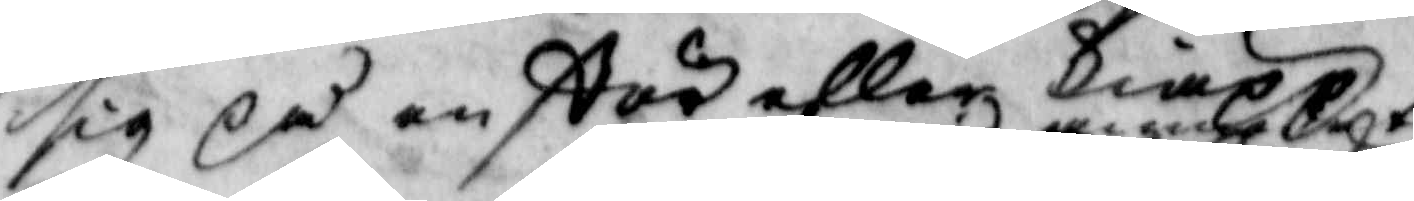sig på en stör eller kiäpp
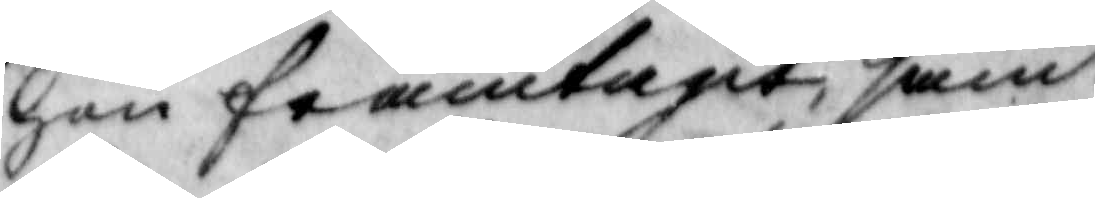hon framtagit samt
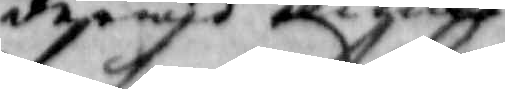derwid ... ...
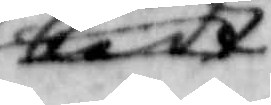bedt
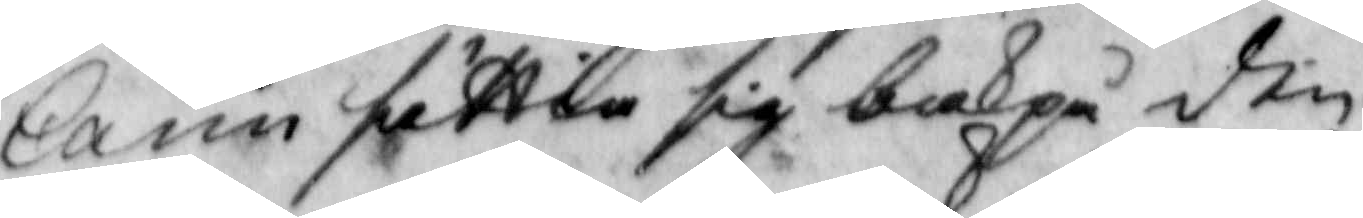karin sättia sig bakpå den
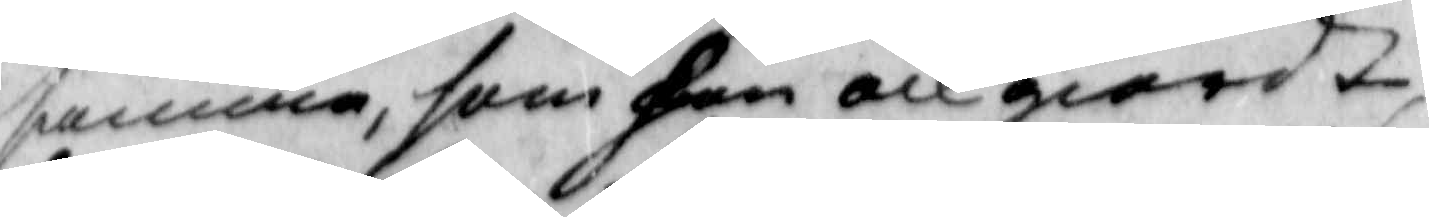samma, som hon och giordt,
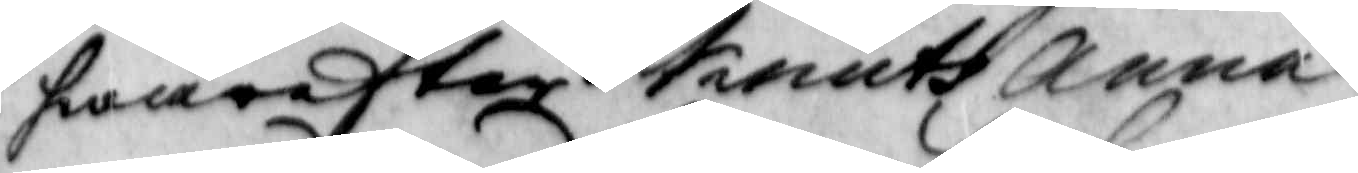hwarefter Knuts Anna
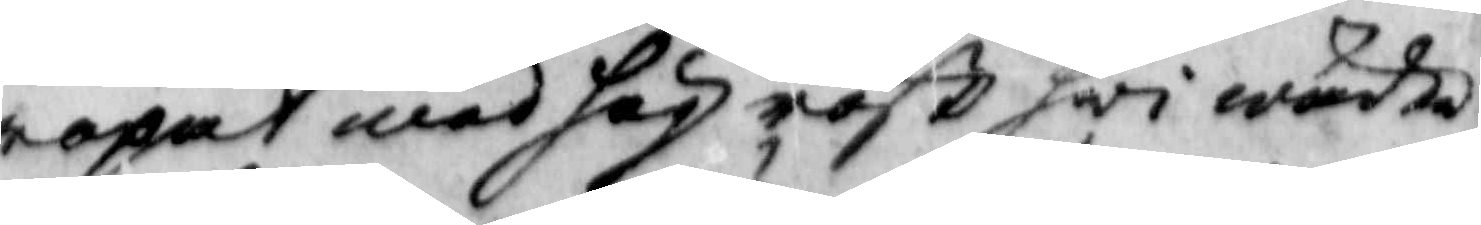ropat med hög röst hwi wändte
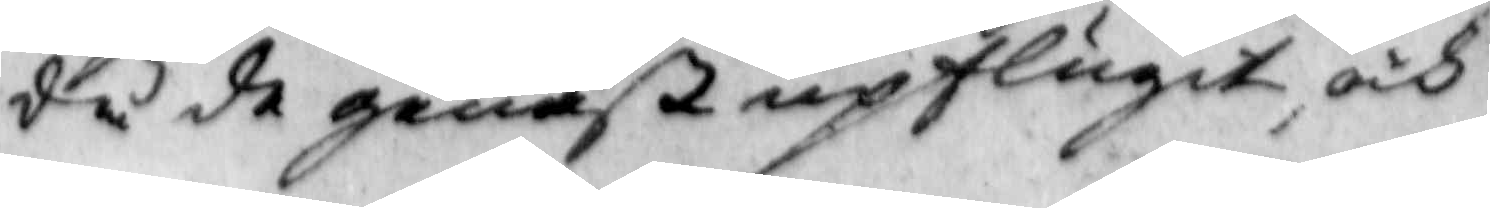då de genast upflugit, och
